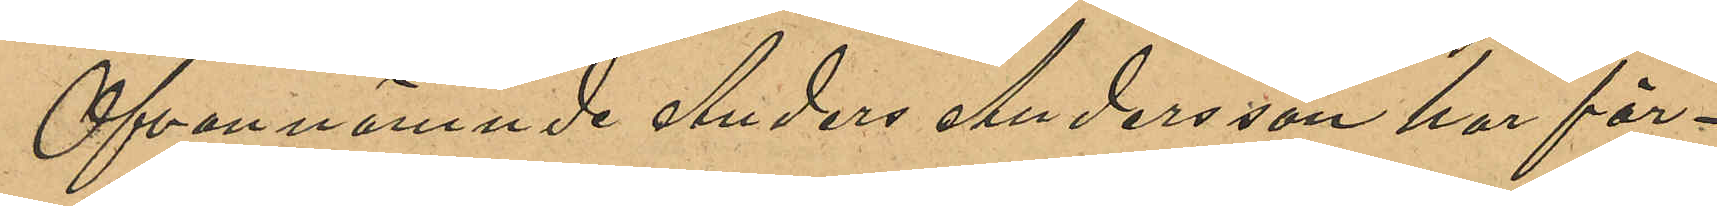Ofvannämnde Anders Andersson har för¬
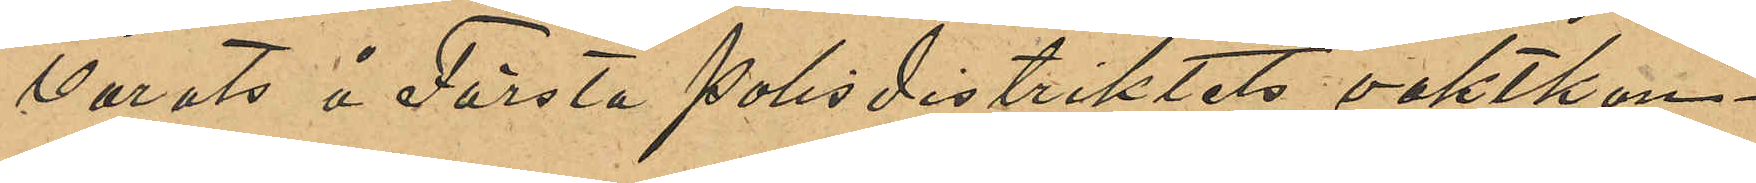varats å Första polisdistriktets vaktkon¬
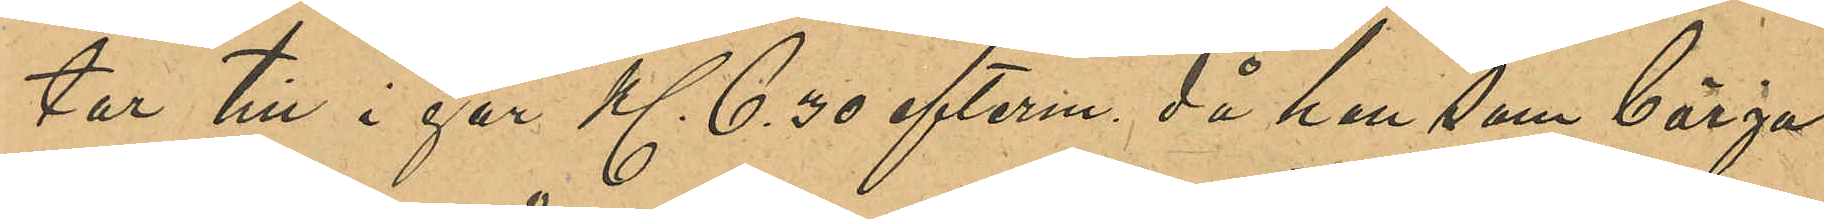tor till i går Kl 6,30 efterm. då han som börja¬
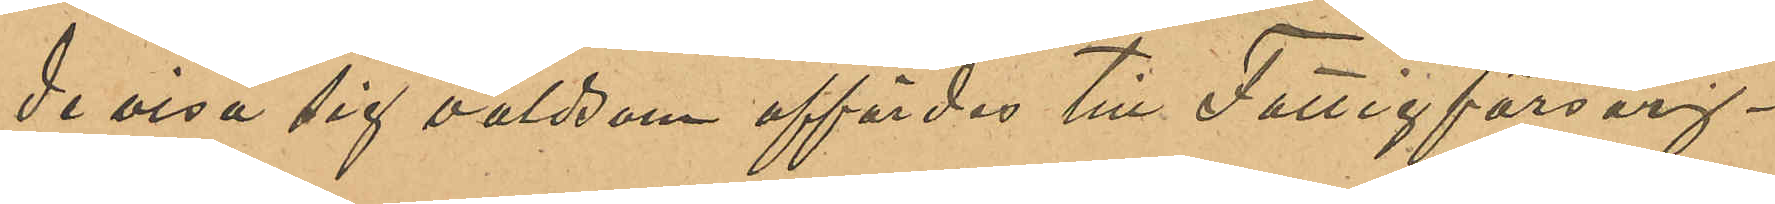de visa sig våldsam affördes till Fattigförsörj¬
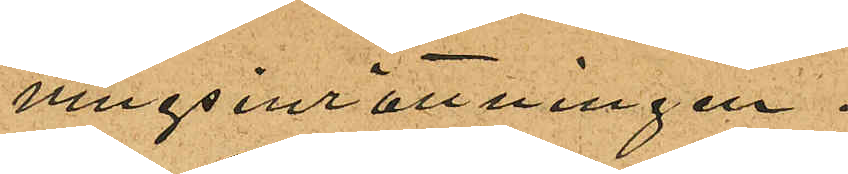ningsinrättningen.
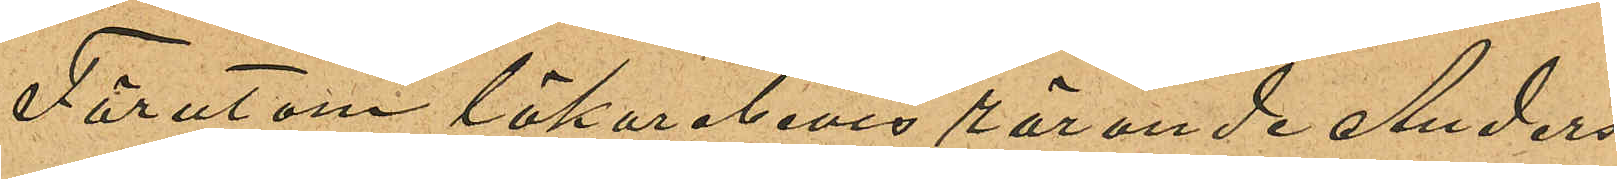Förutom läkarebevis rörande Anders¬
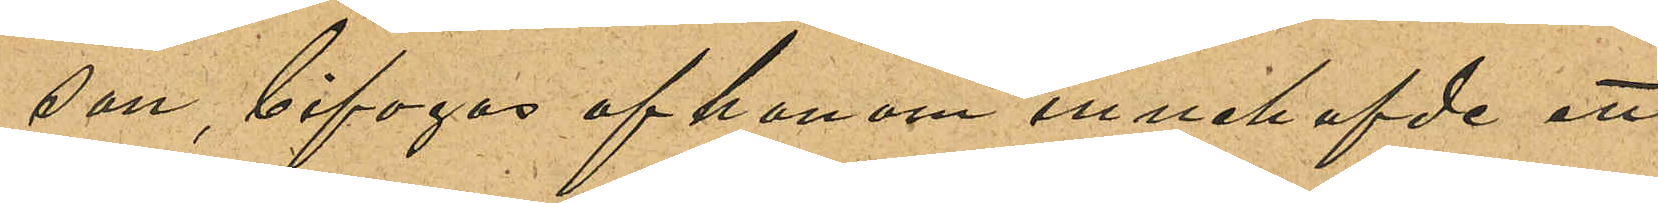son, bifogas af honom innehafvde ett
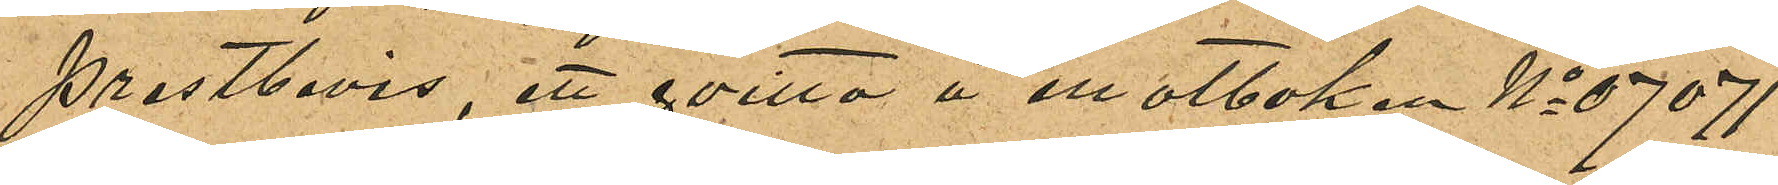prestbevis, ett qvitto å motboken No 07071
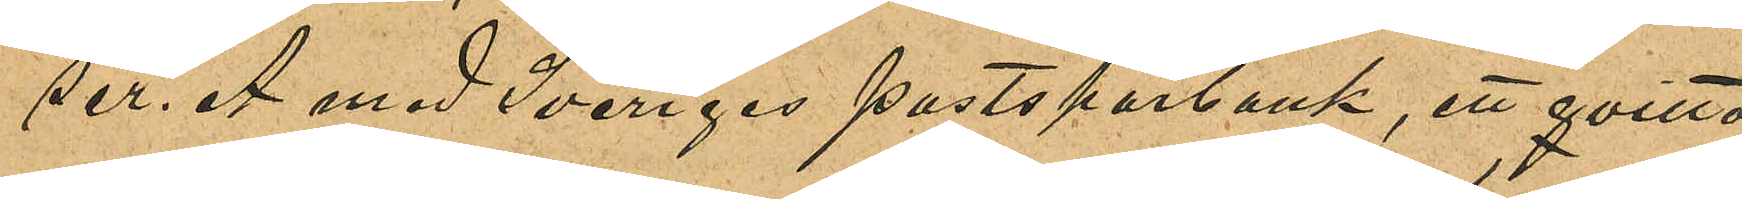ser. A med Sveriges postsparbank, ett qvitto
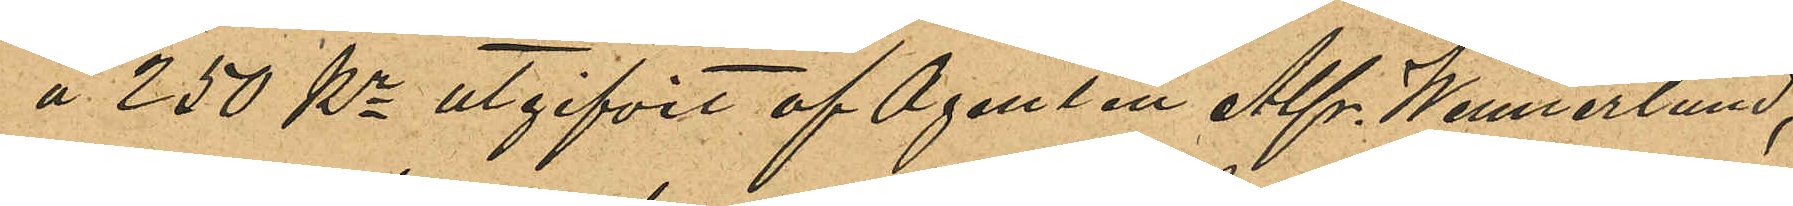å 250 Kr utgifvet af Agenten Alfr. Wennerlund,
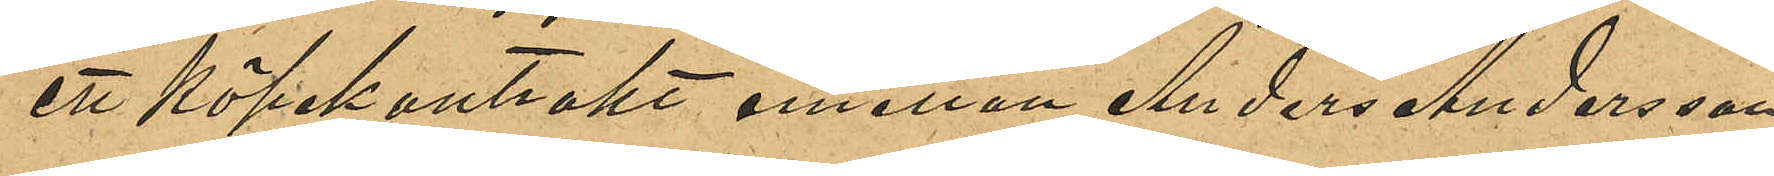ett köpekontrakt emellan Anders Andersson
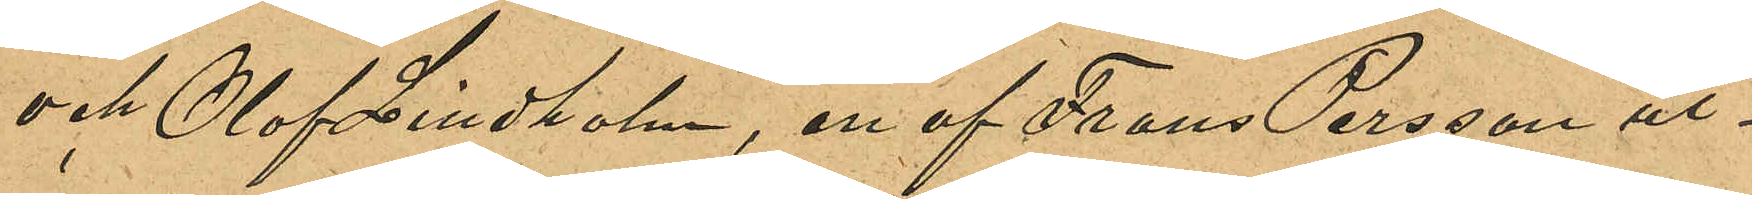och Olof Lindholm, en af Frans Persson ut¬
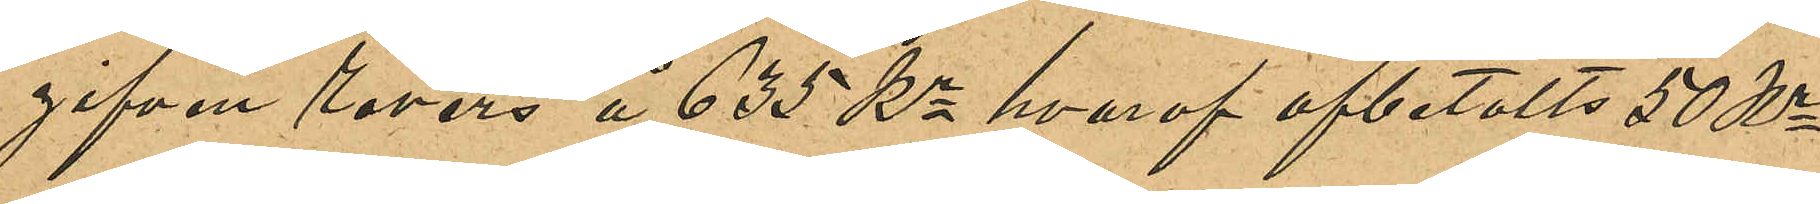gifven revers å 635 Kr hvaraf afbetalats 50 Kr
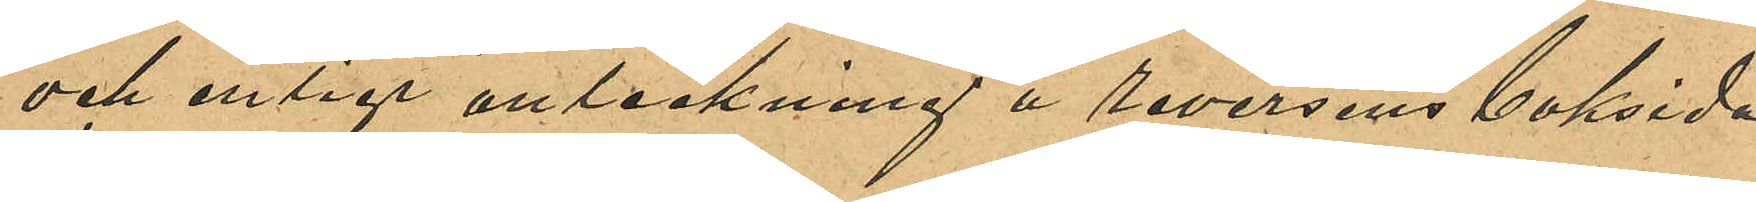och enligt anteckning å reversens baksida
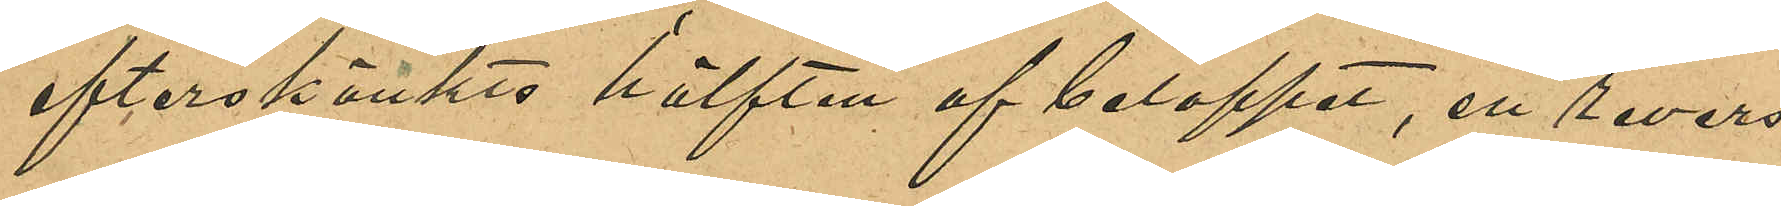efterskänktes hälften af beloppet, en revers
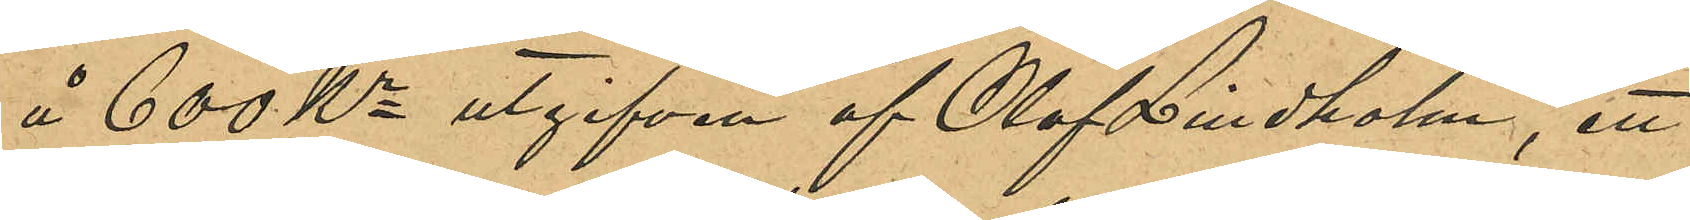å 600 Kr utgifven av Olof Lindholm, ett
